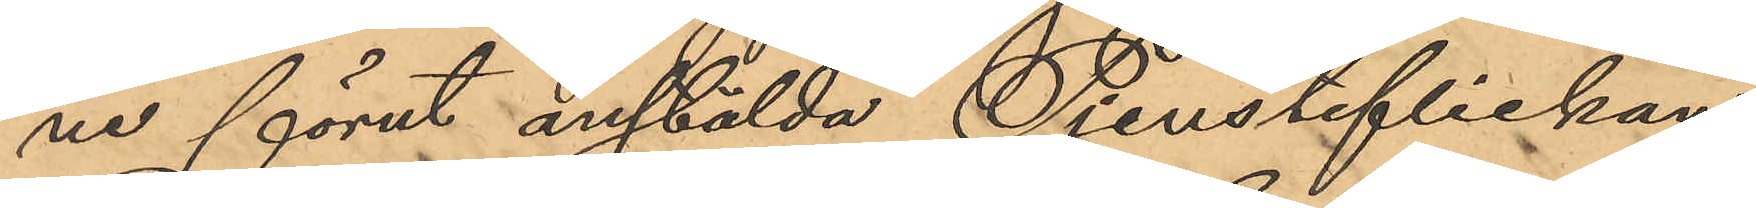ne förut anstälda Tjensteflickan
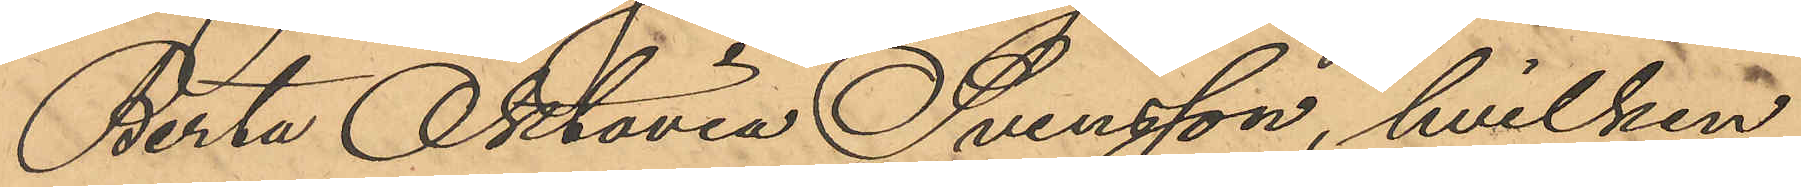Berta Oktavia Svensson, hvilken
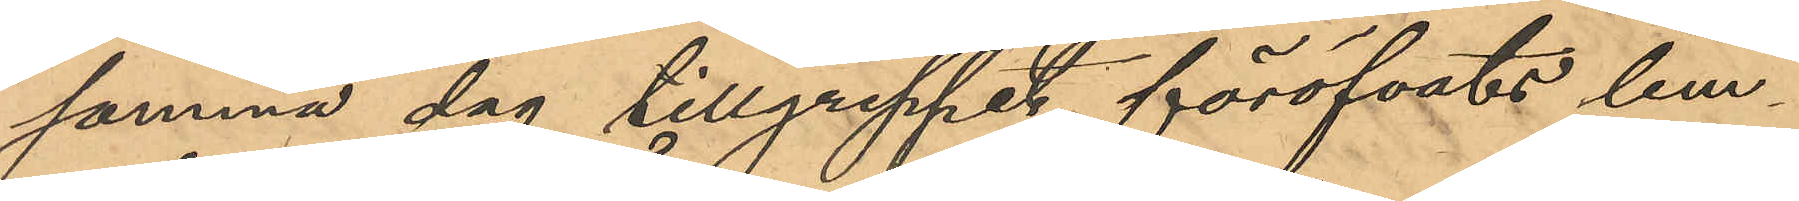samma dag tillgreppet föröfvats lem¬
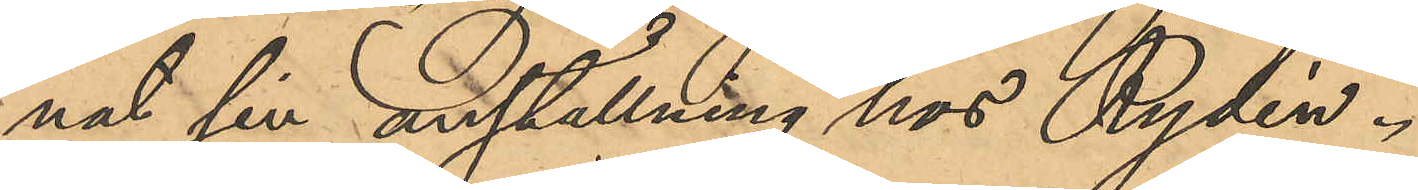nat sin anställning hos Rydén.
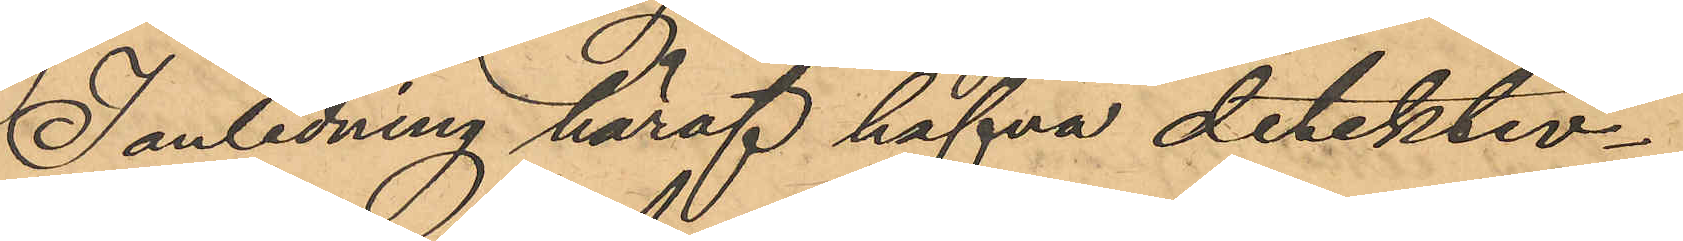I anledning häraf hafva detektiv¬
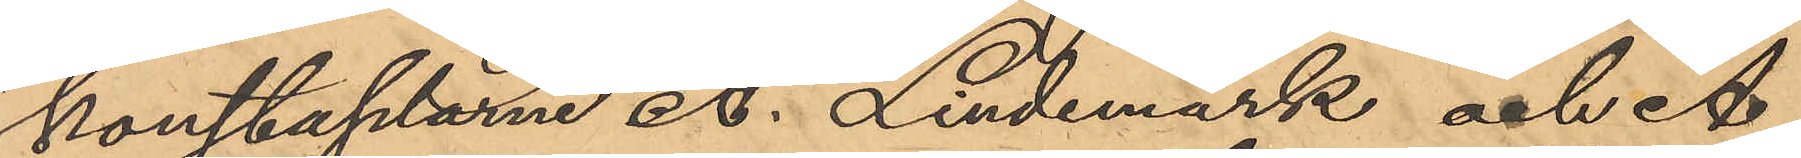konstaplarne A. Lindemark och A.
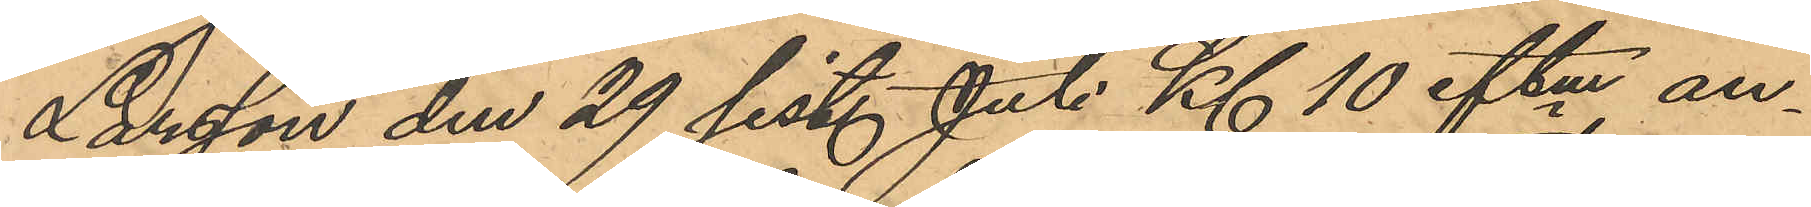Larsson den 29 sist. Juli Kl 10 eftm an¬
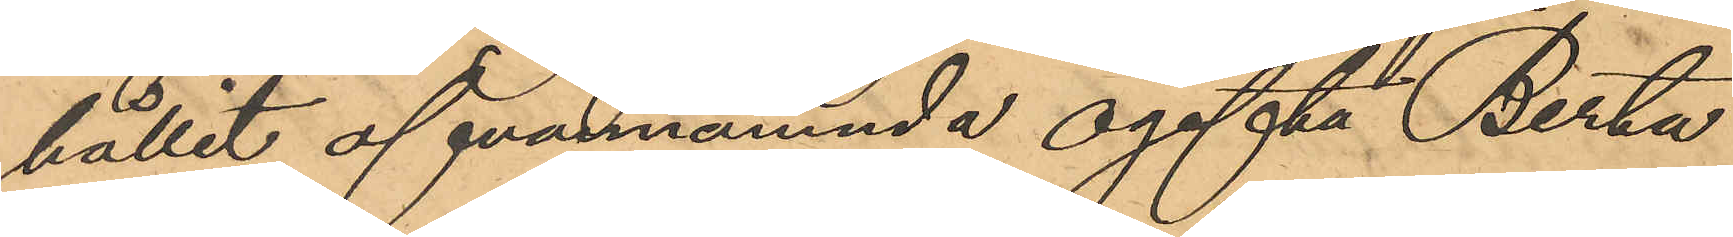hållit ofvannämnda ogifta Berta
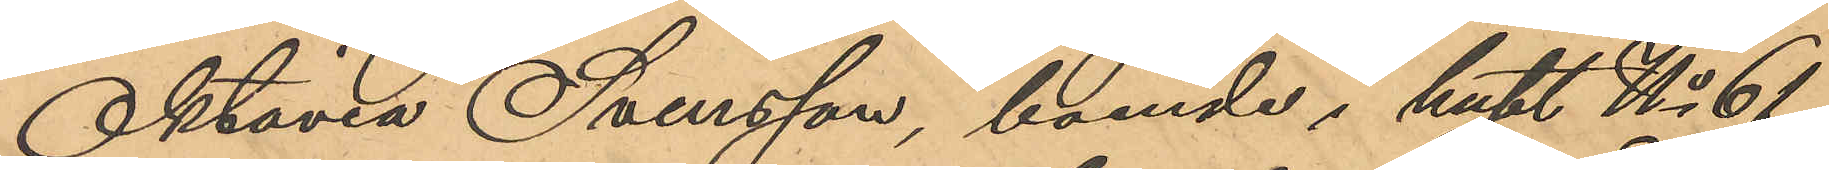Oktavia Svensson, boende i huset No 61
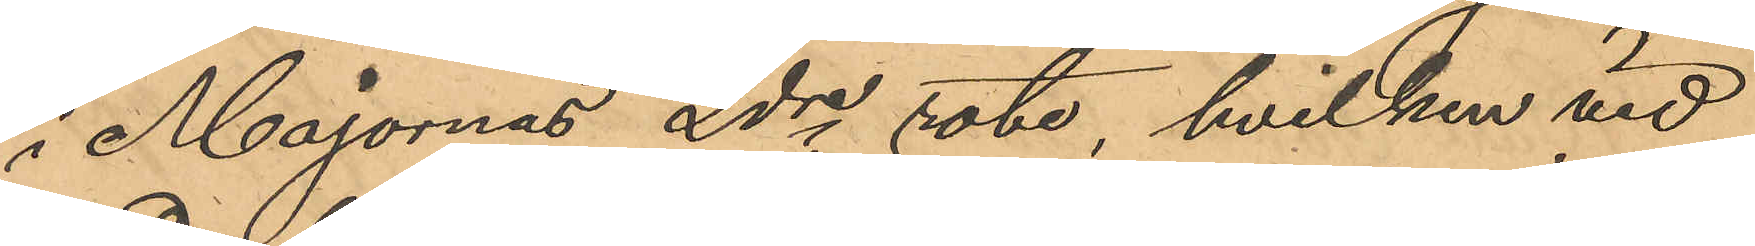i Majornas 2dre rote, hvilken vid
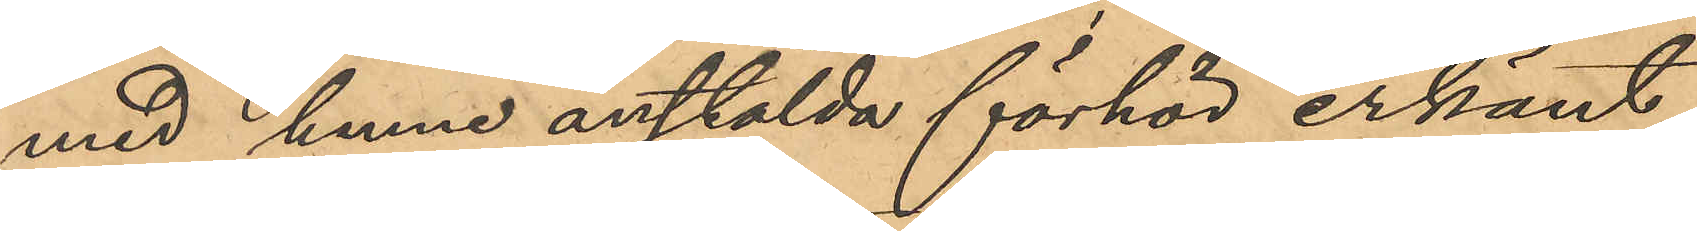med henne anstälda förhör erkänt
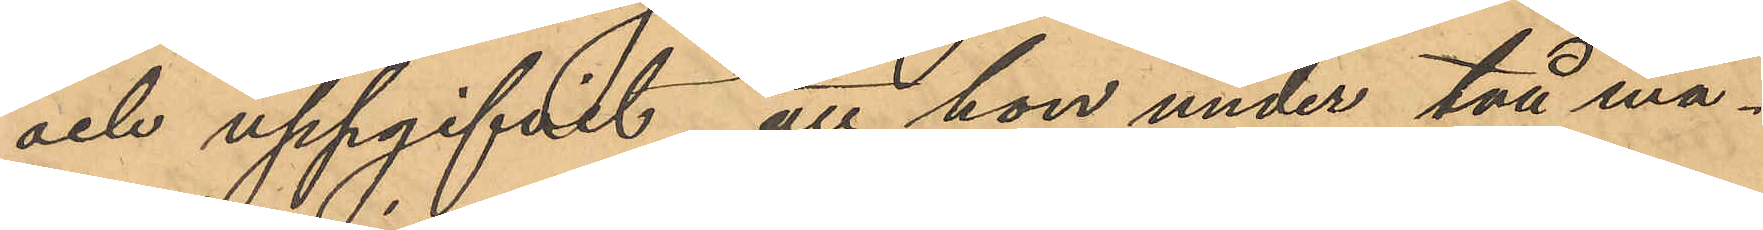och uppgifvit, att hon under två må¬
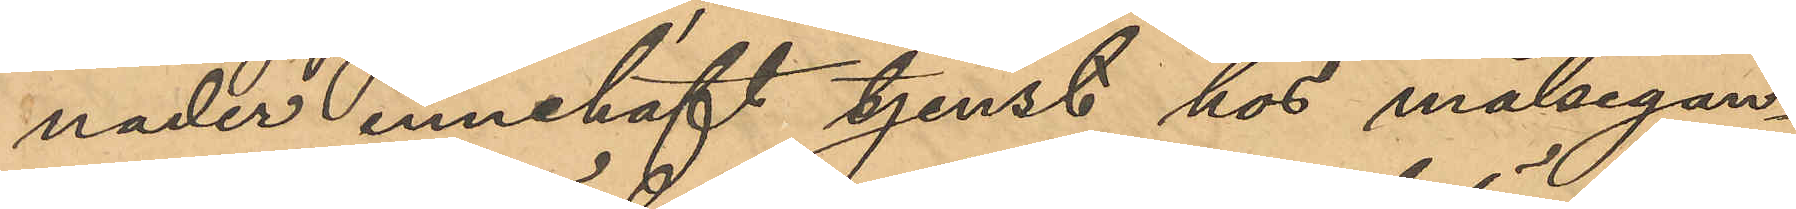nader innehaft tjenst hos målsegan¬
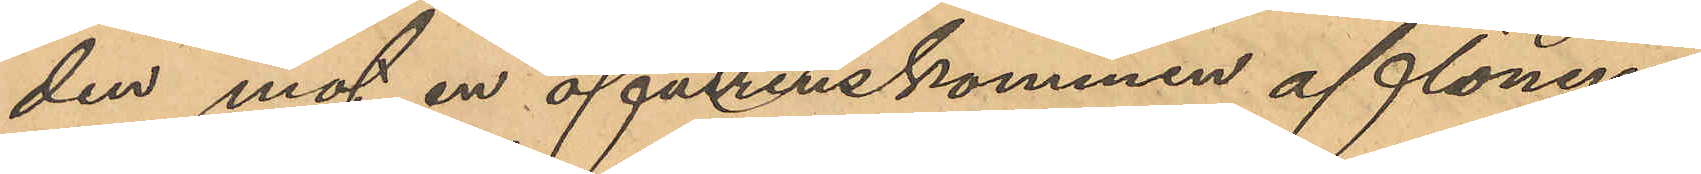den mot en öfverenskommen aflöning
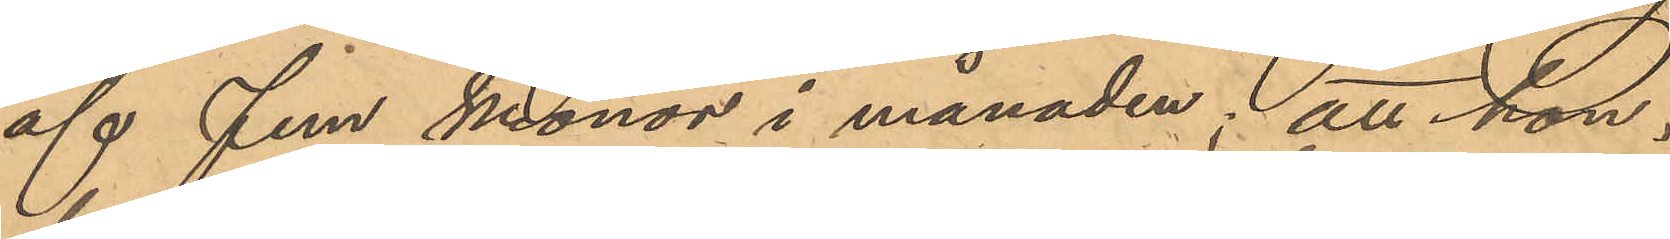af Fem Kronor i månaden; att hon
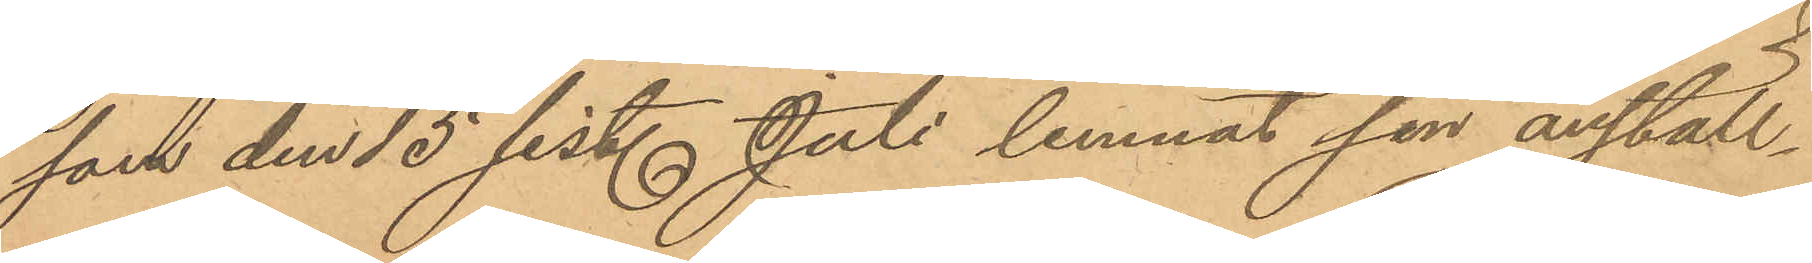som, den 15 sist. Juli lemnat sin anställ¬
